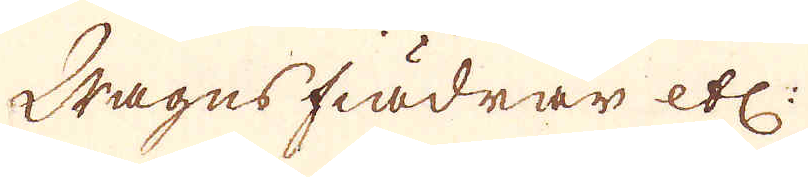Wagns fiädrar etc:
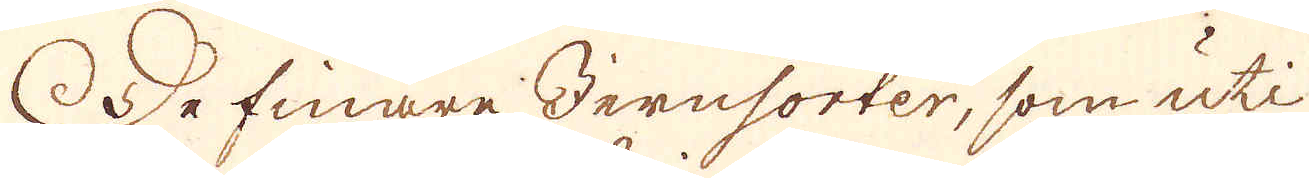De finare Jernsorter, som uti
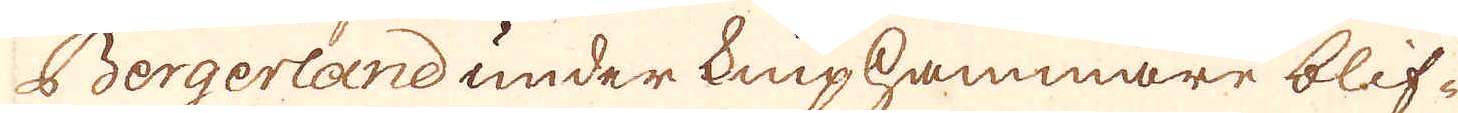Bergerland under Kniphammare blif-
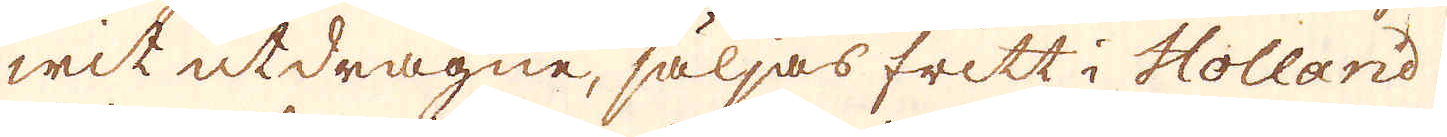wit utdragne, säljas fritt i Holland
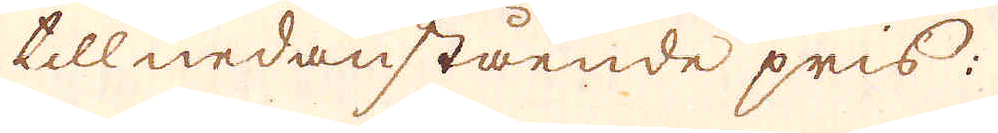till nedanstående pris:
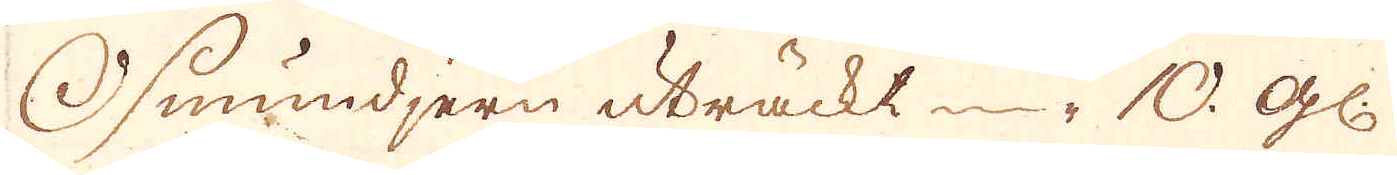Osmundjern uträckt 10. gl:
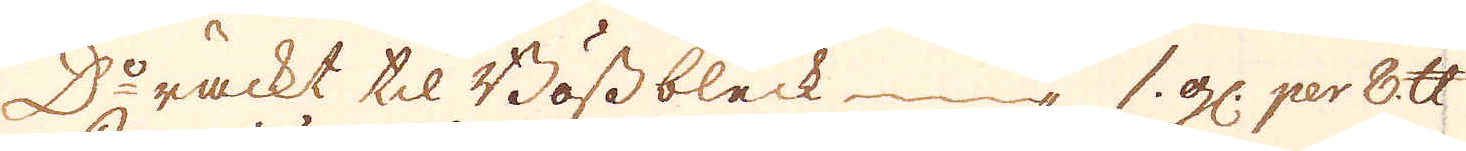D:o räckt til Bössbleck 1 gl: per 8 skålpund
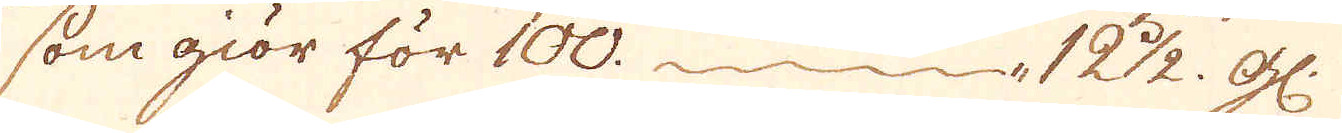som giör för 100. 12 1/2 gl:
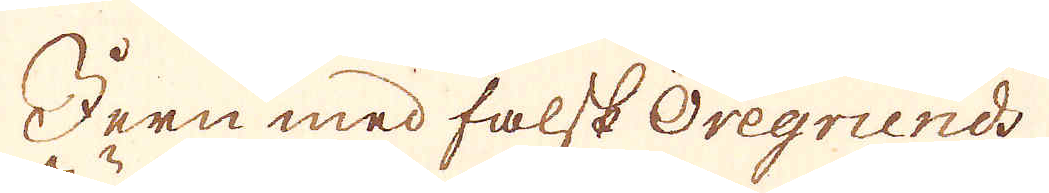Jern med falsk Öregrunds
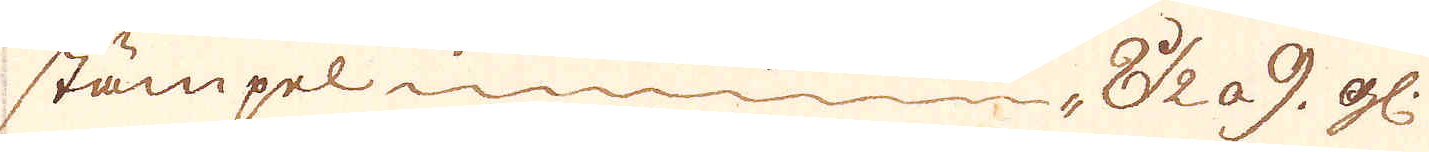stämpel 8 1/2 à 9 gl:
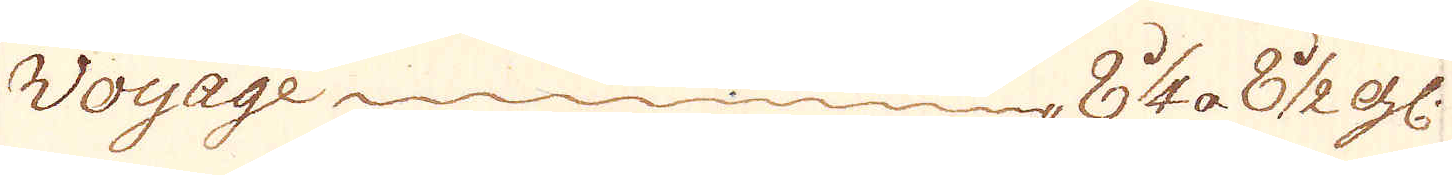Woyage 8 1/4 à 8 1/2 gl:
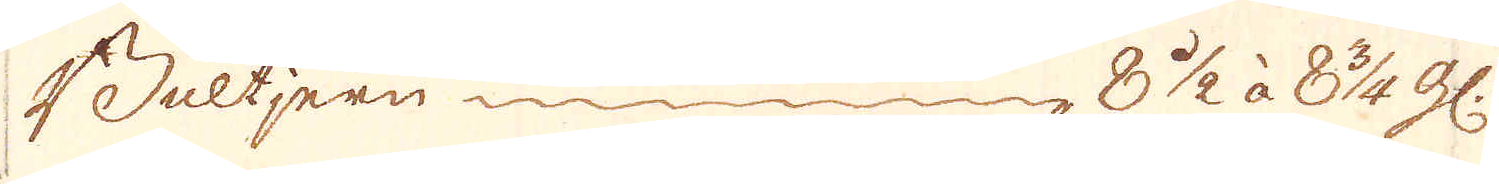Bultjern  8 1/2 à 8 3/4 gl:
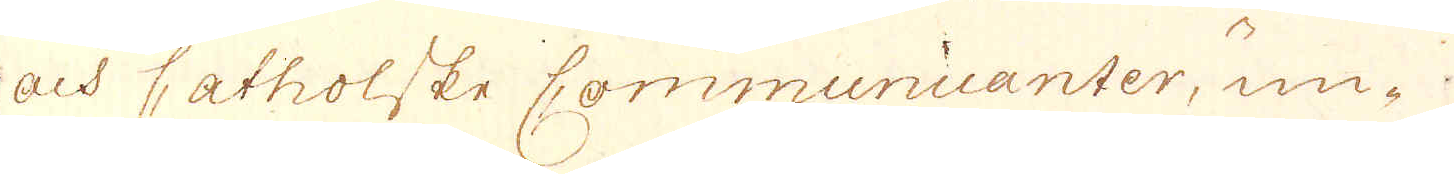och Catholske Communicanter, un-
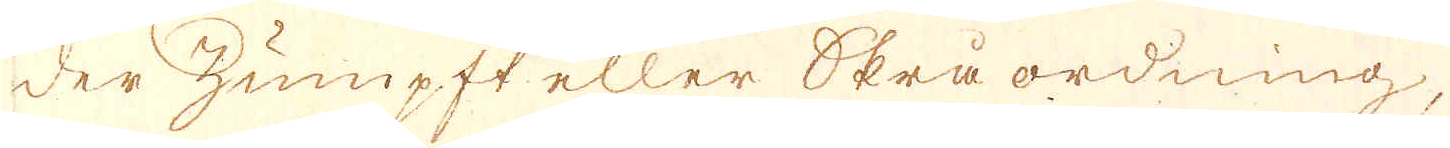der zumpft eller skrå ordning,
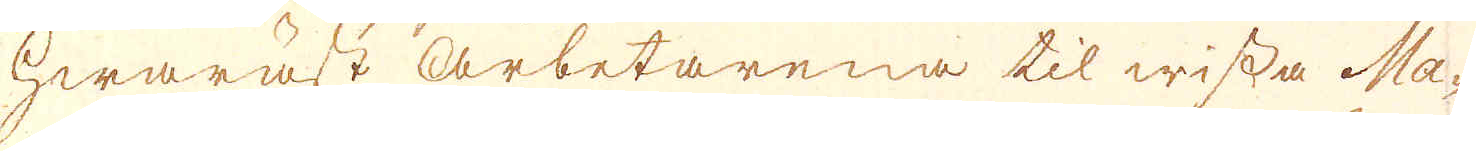hwaräst arbetarena til wissa Ma-
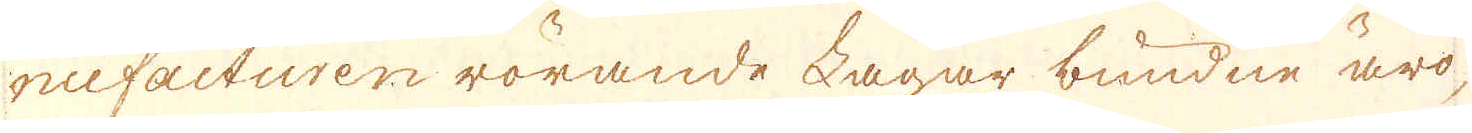nufacturen rörande Lagar bundne äro,
